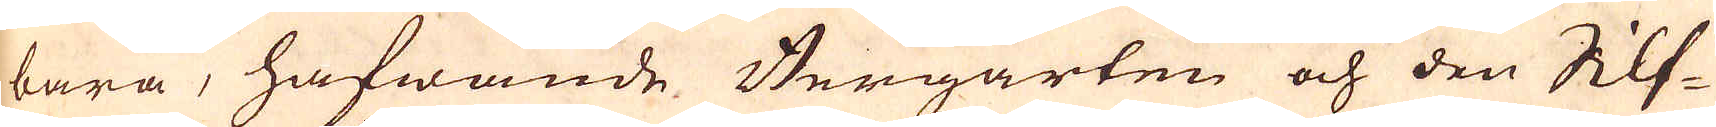bara, hafwande Bergarten och den Silf-
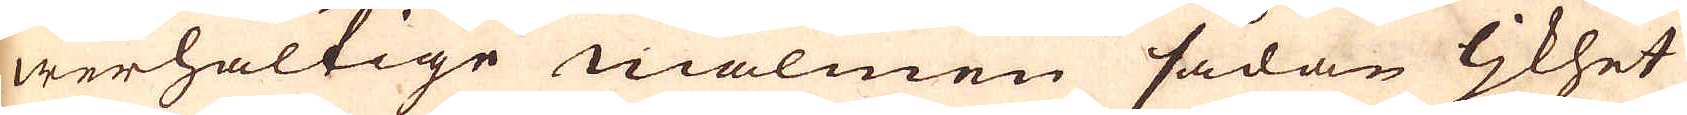werhaltige malmen sådan ljkhet
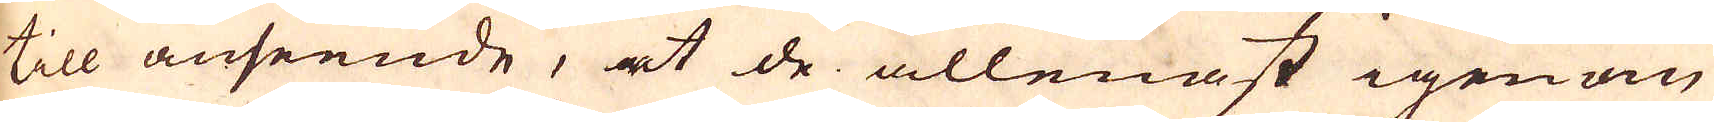till anseende, et de allenast igenom
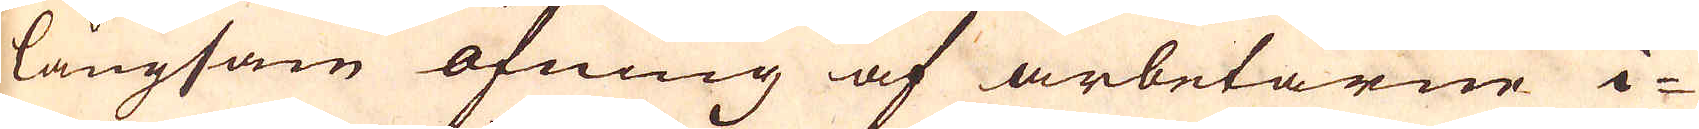långsam öfning af arbetarne i-
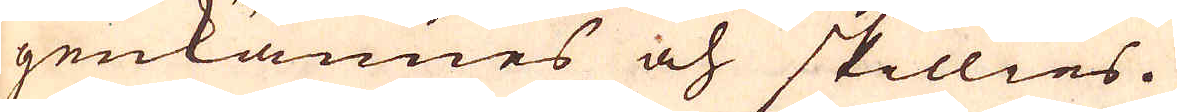genkännes och skillies.
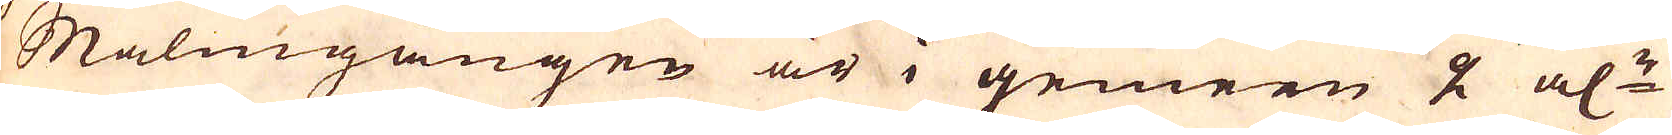Malmgången är i gemen 2 al:r
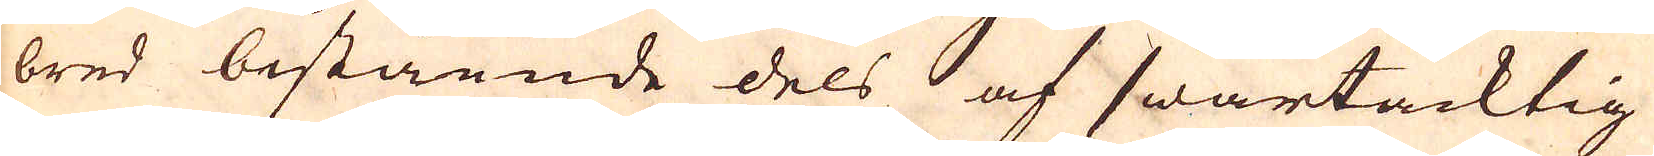bred bestående dels af swartacktig
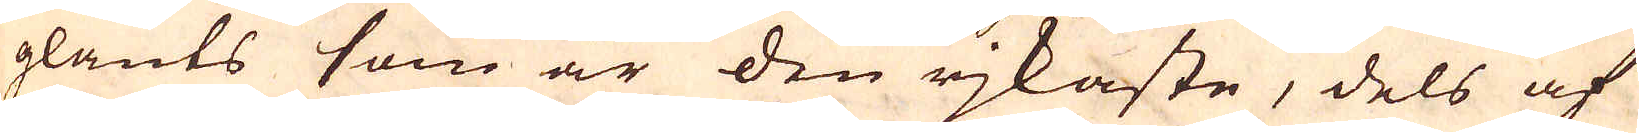glants som är den rjkaste, dels af
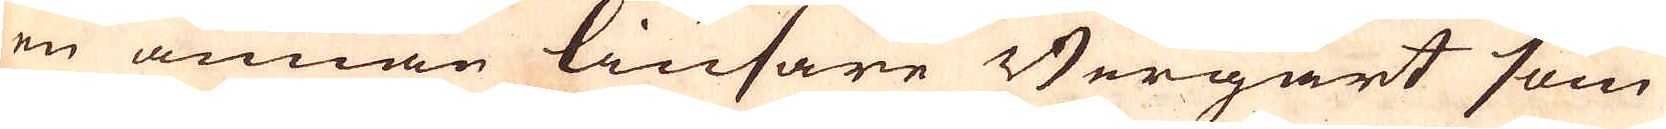en annan liusare Bergart som
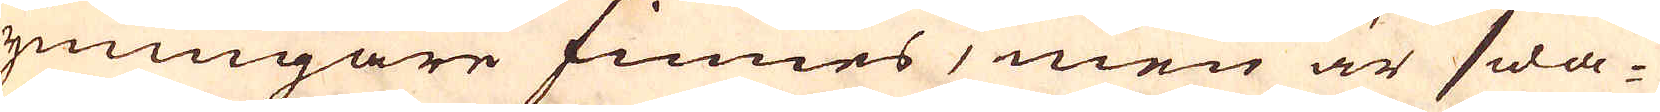ymnigare finnes, men är swa-
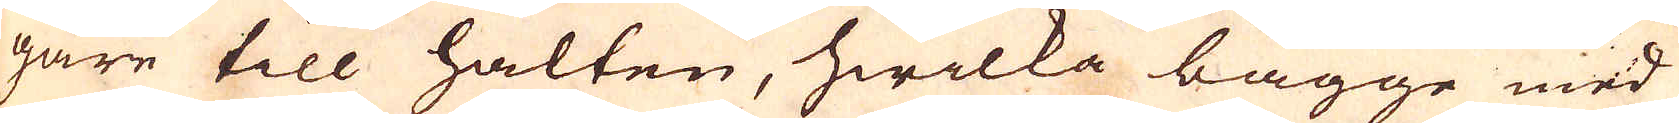gare till halten, hwilka bägge med
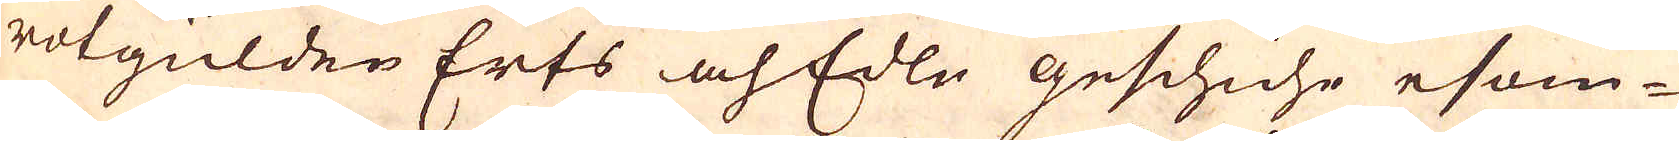rotgülden Erts och Edle geschiche esom-
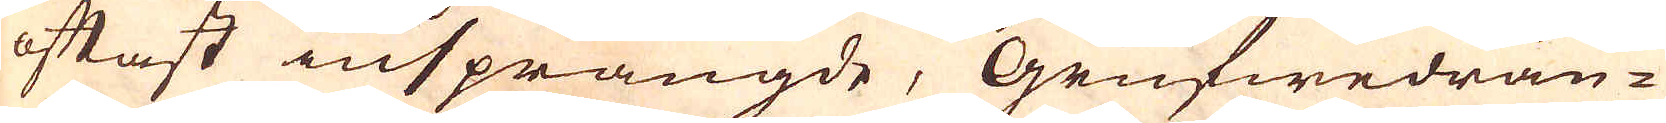oftast insprängde, Grufwedrän-
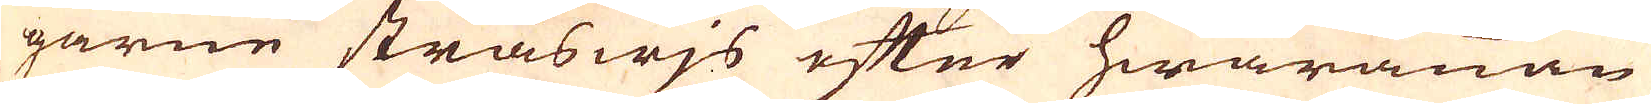garne stråswjs efter hwarannan
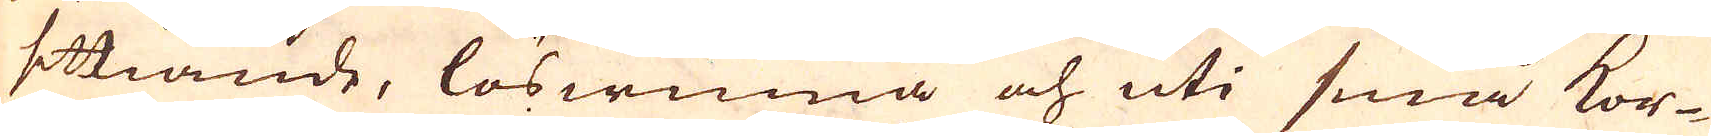sittiande, löswinna och uti små kor-
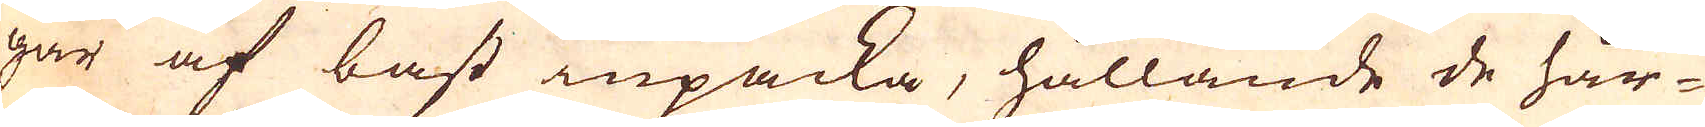gar af bast inpacka, hållande de hår-
